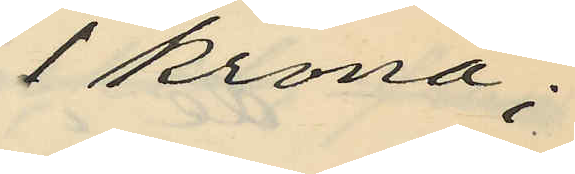1 krona;
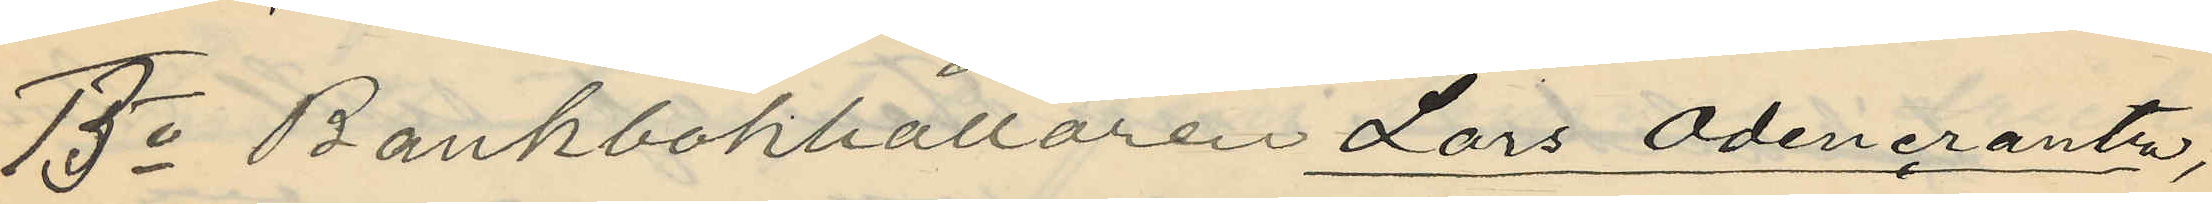13o Bankbokhållaren Lars Odencrantz,
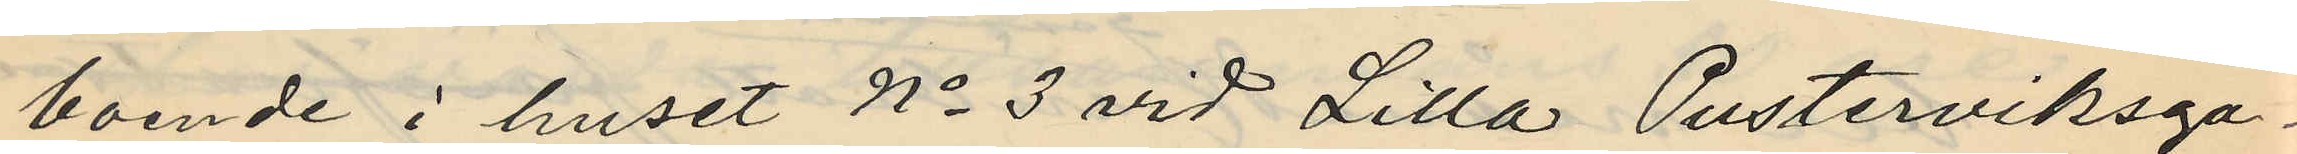boende i huset No 3 vid Lilla Pusterviksga¬
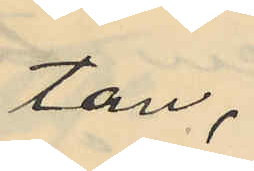tan,
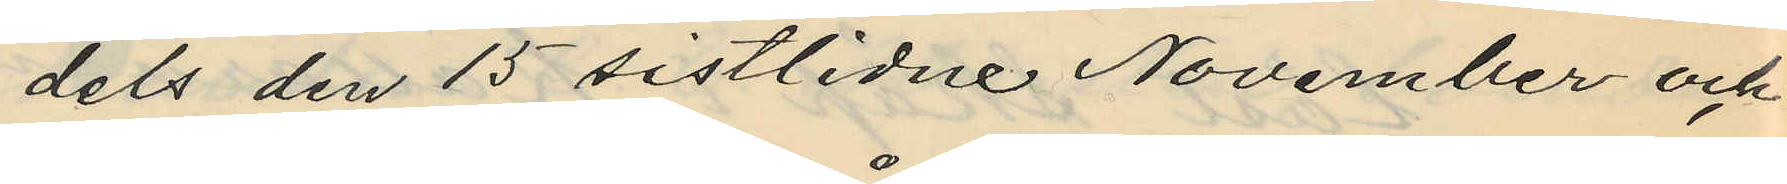dels den 15 sistlidne November och
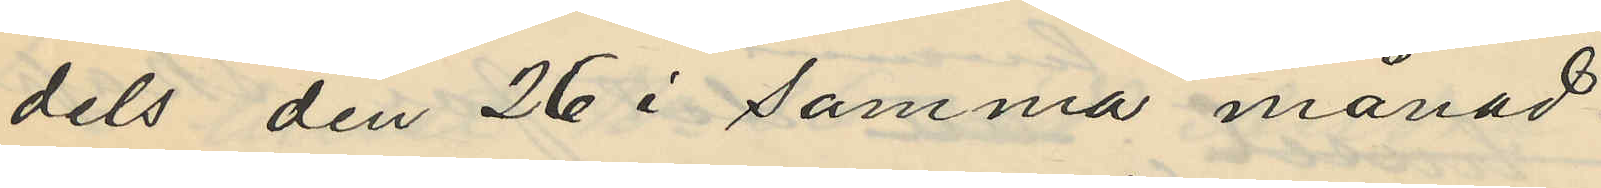dels den 26 i samma månad
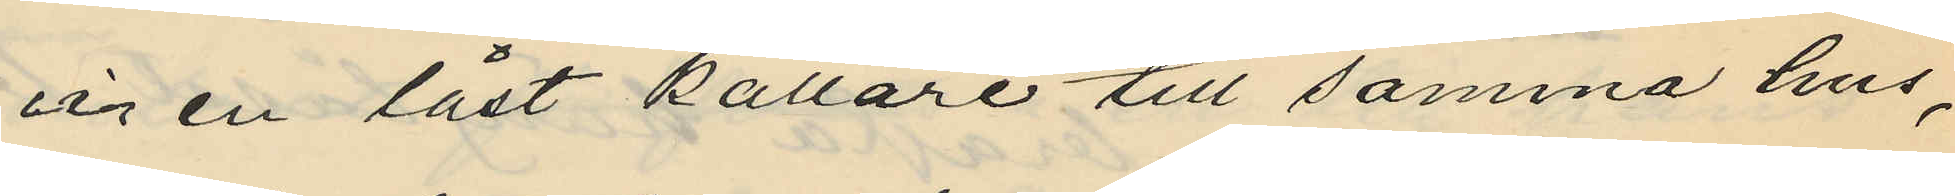ur en låst källare till samma hus,
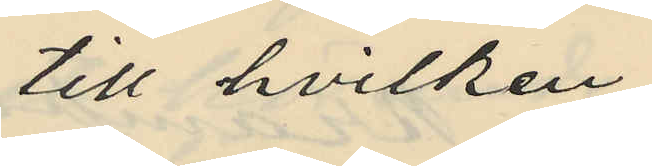till hvilken
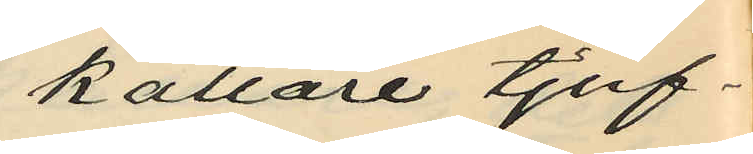källare tjuf¬
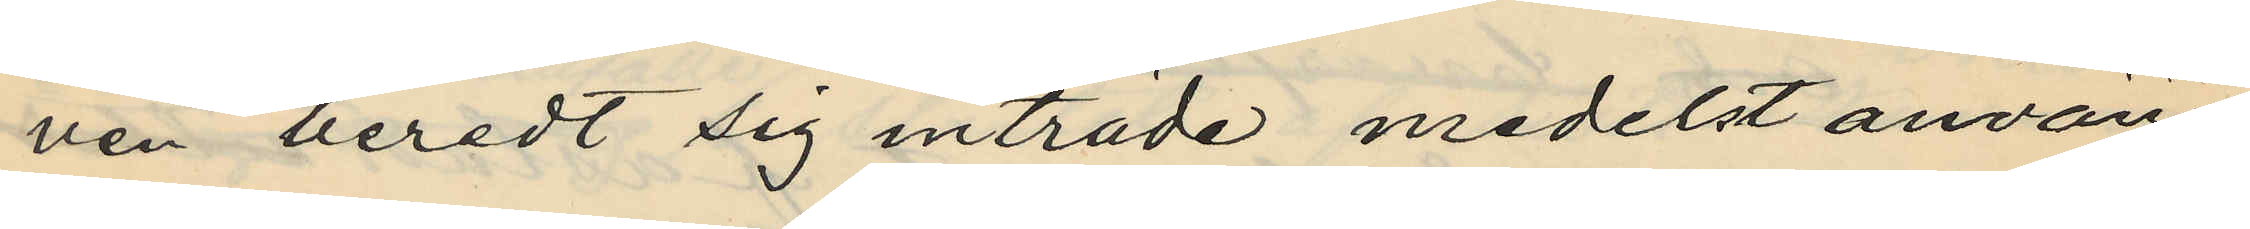ven beredt sig inträde medelst använ¬
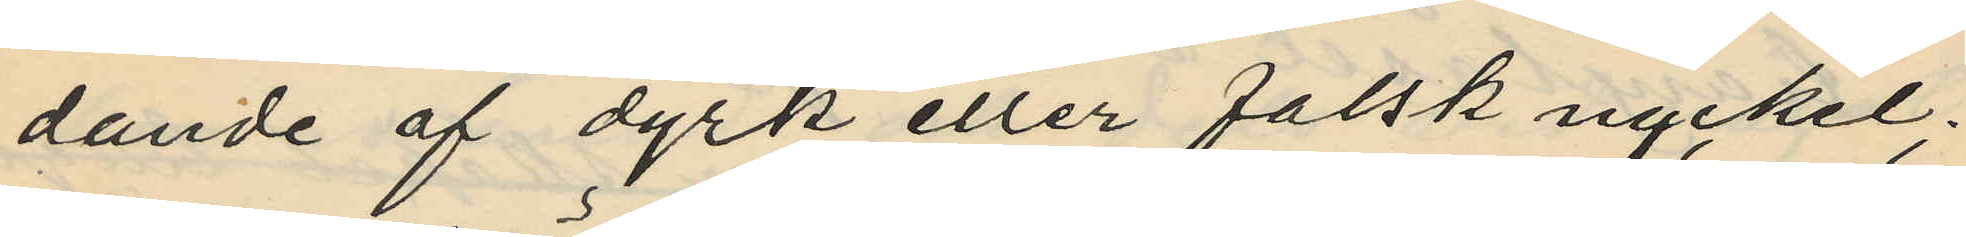dande af dyrk eller falsk nyckel;
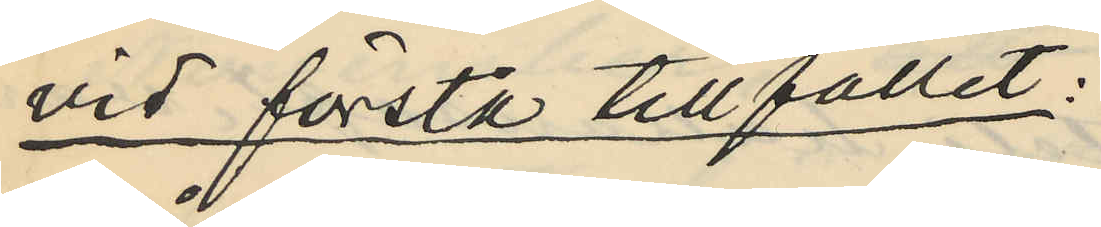vid första tillfället;
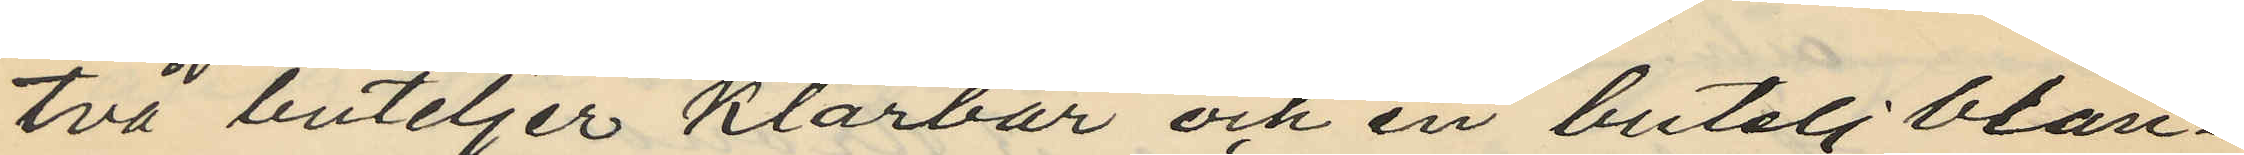två buteljer klarbär och en butelj blan¬
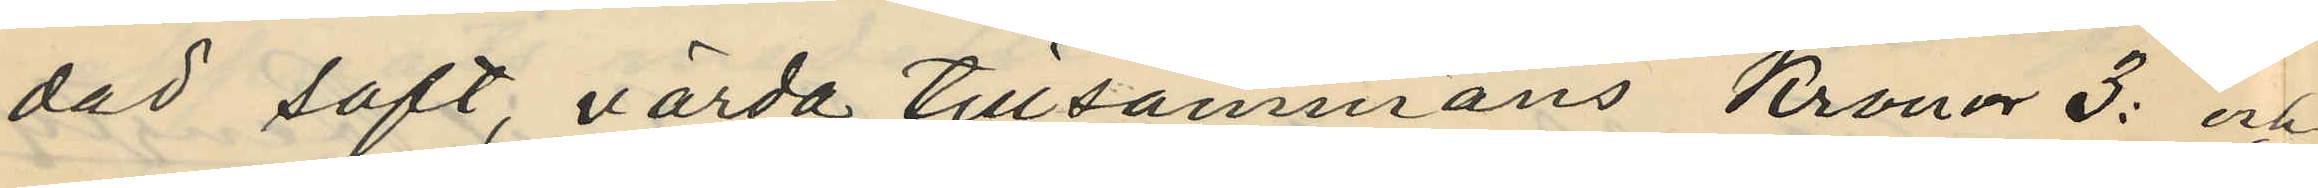dad saft, värda tillsammans Kronor 3: och
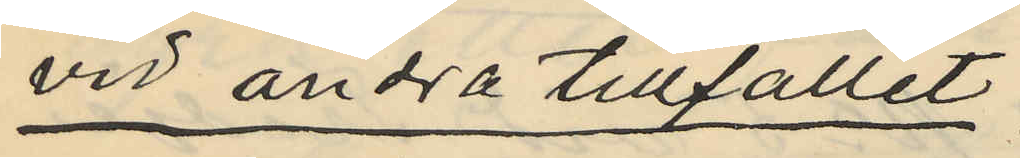vid andra tillfället:
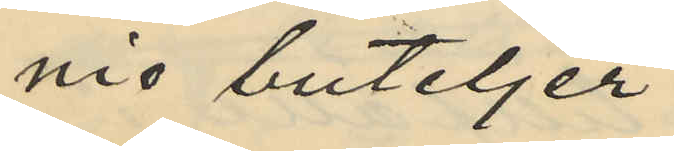nio buteljer
